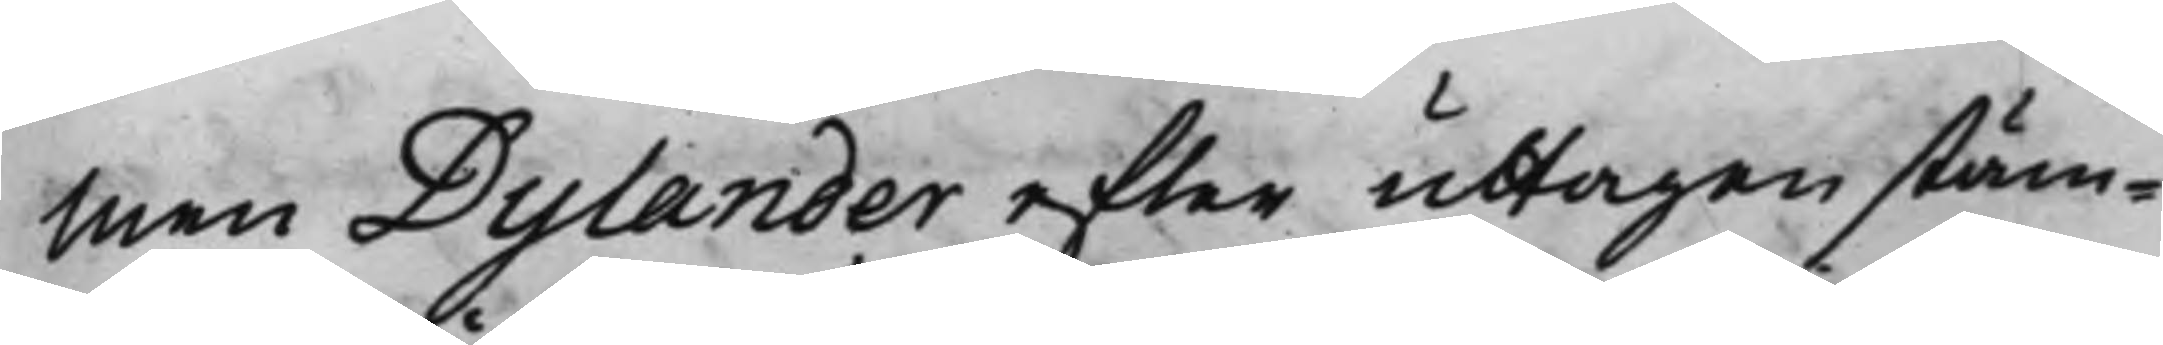Men Dylander efter uttagen stäm¬
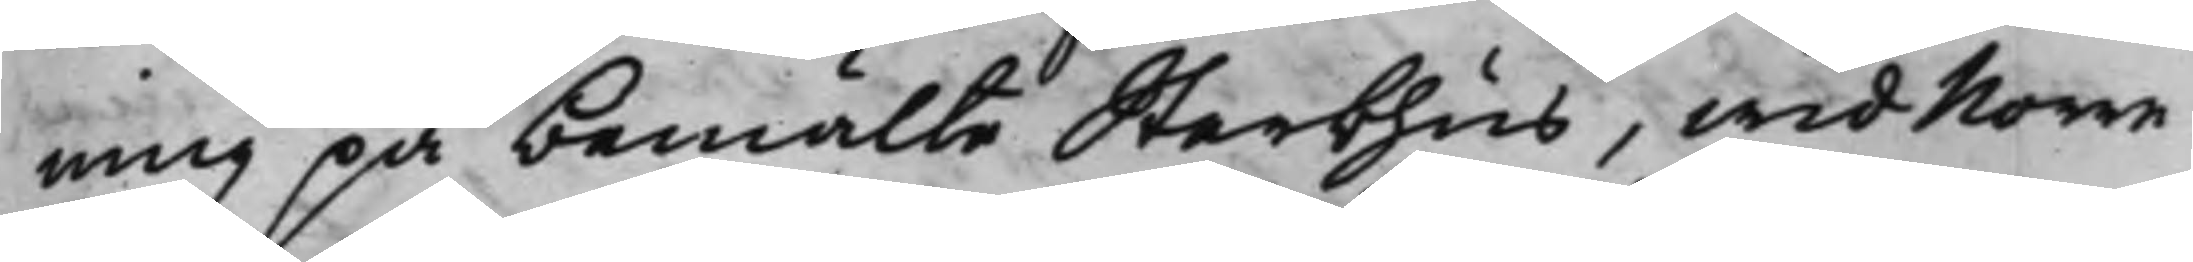ning på bemälte Sterbhus, wid Norre
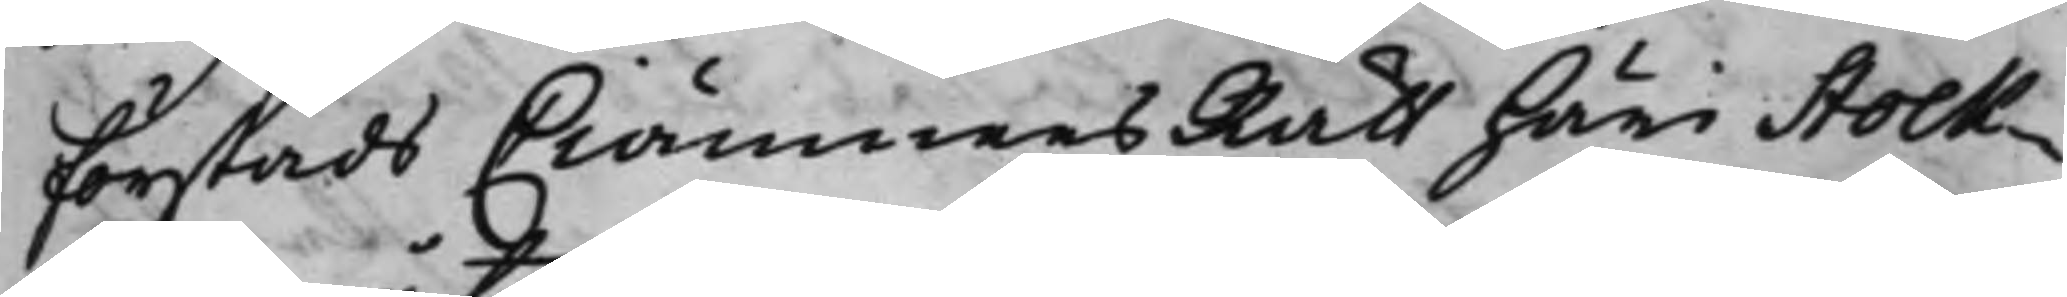Förstads CiämnersRätt häri Stock¬
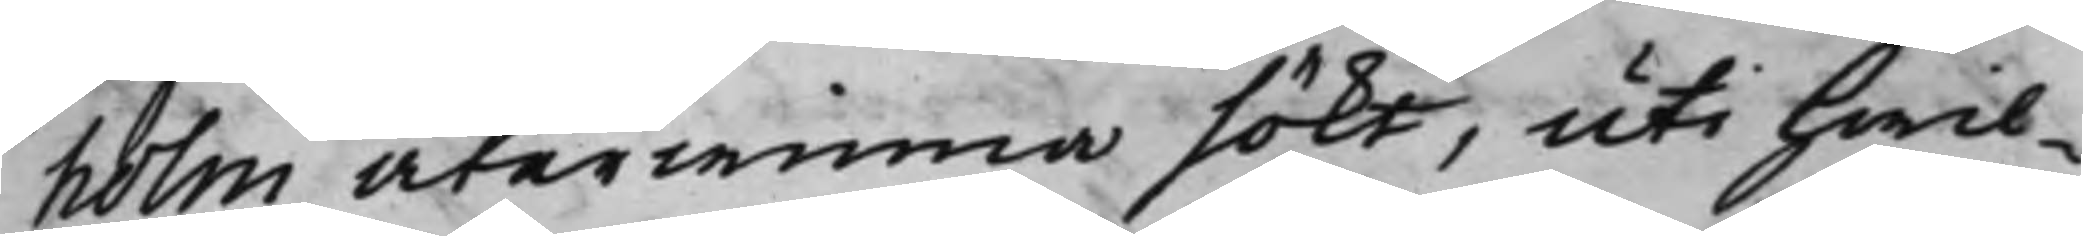holm återwinna sökt, uti hwil¬
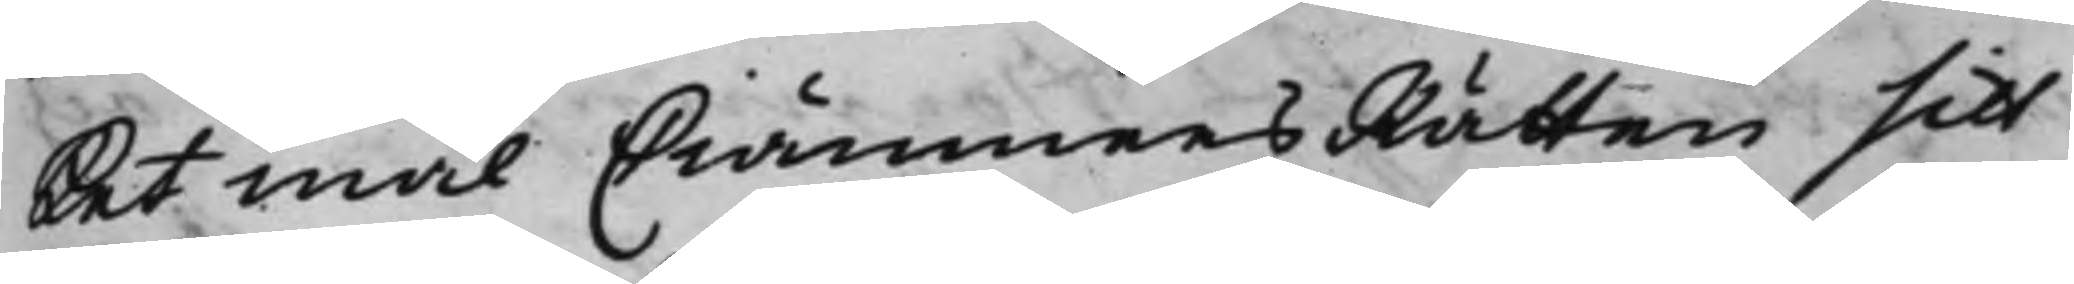ket mål CiämnersRätten sitt
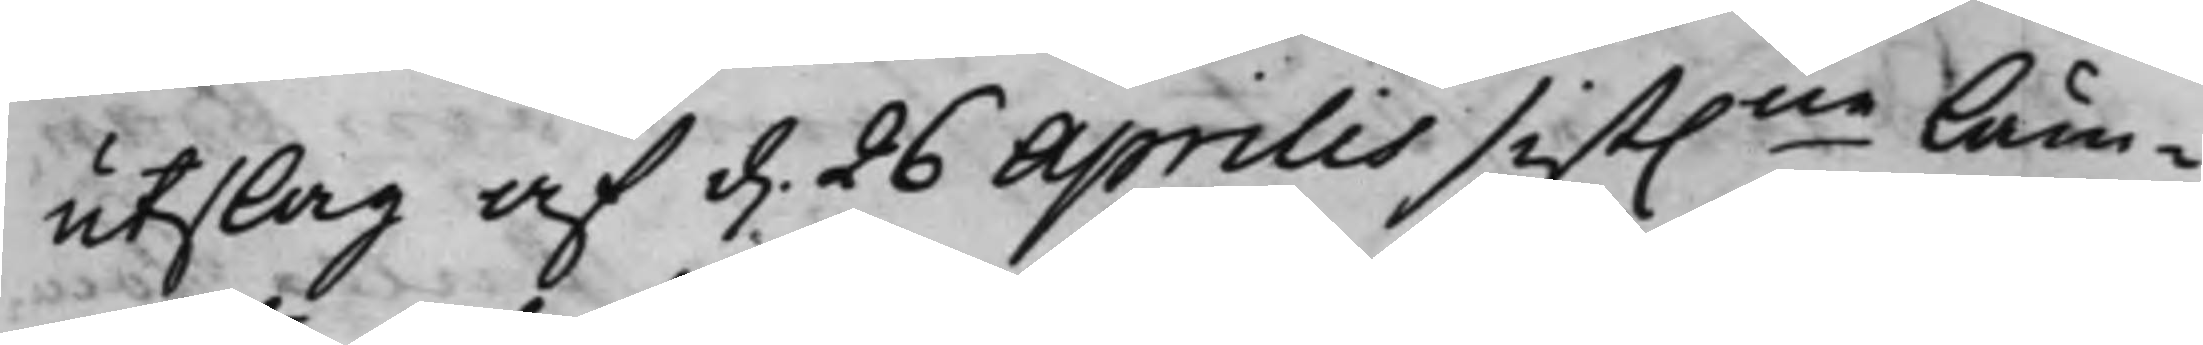utslag af d. 26 Aprilis sist.ne läm¬
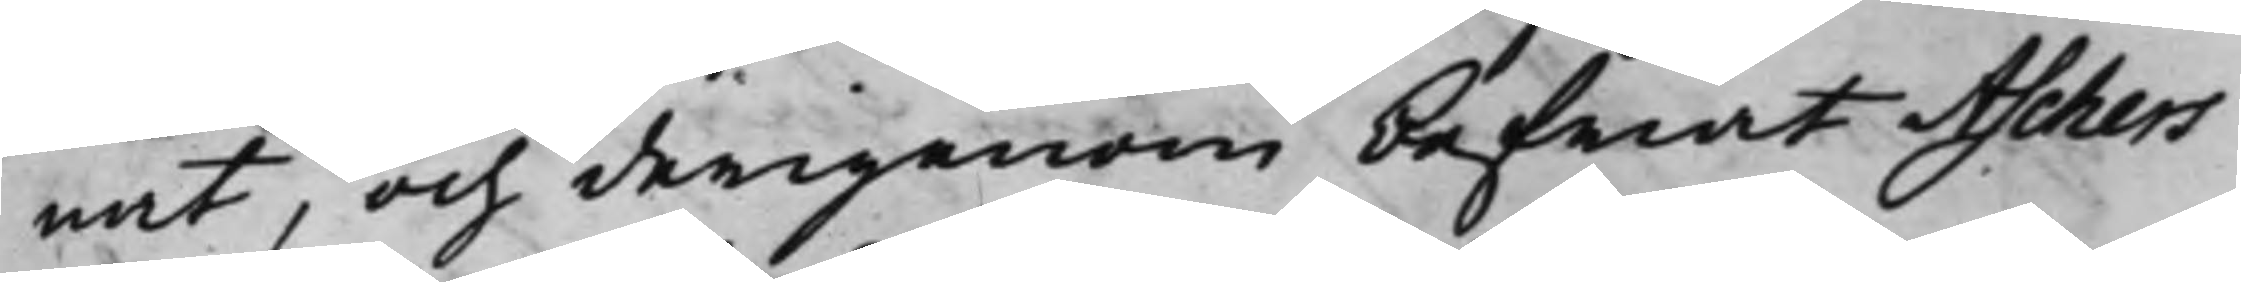nat, och derigenom befriat Aschers
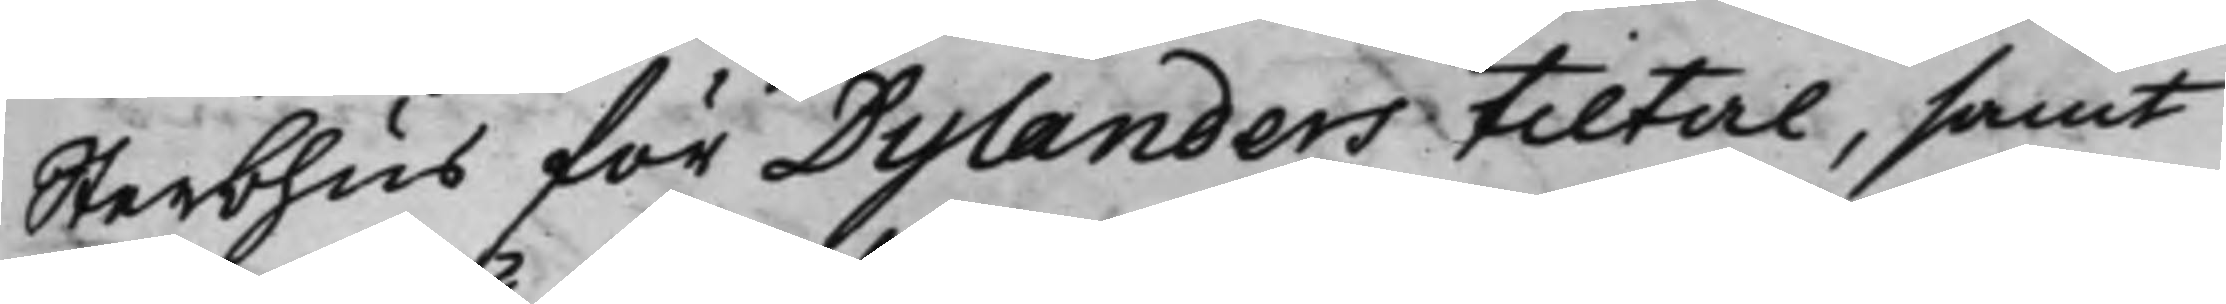Sterbhus för Dylanders tiltal, samt
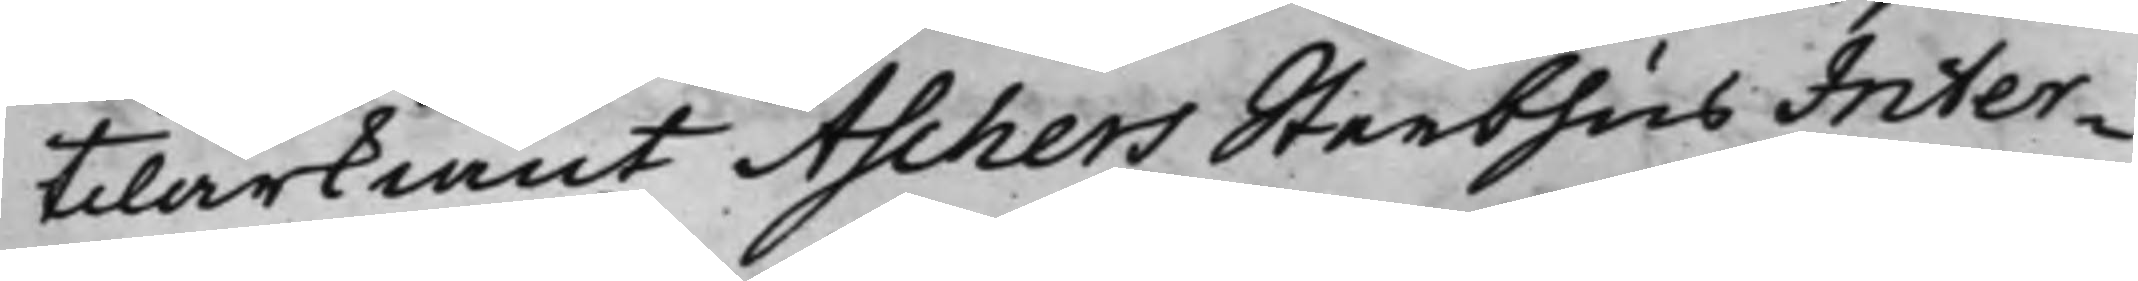tilärkiänt Aschers Steebhus Inter¬
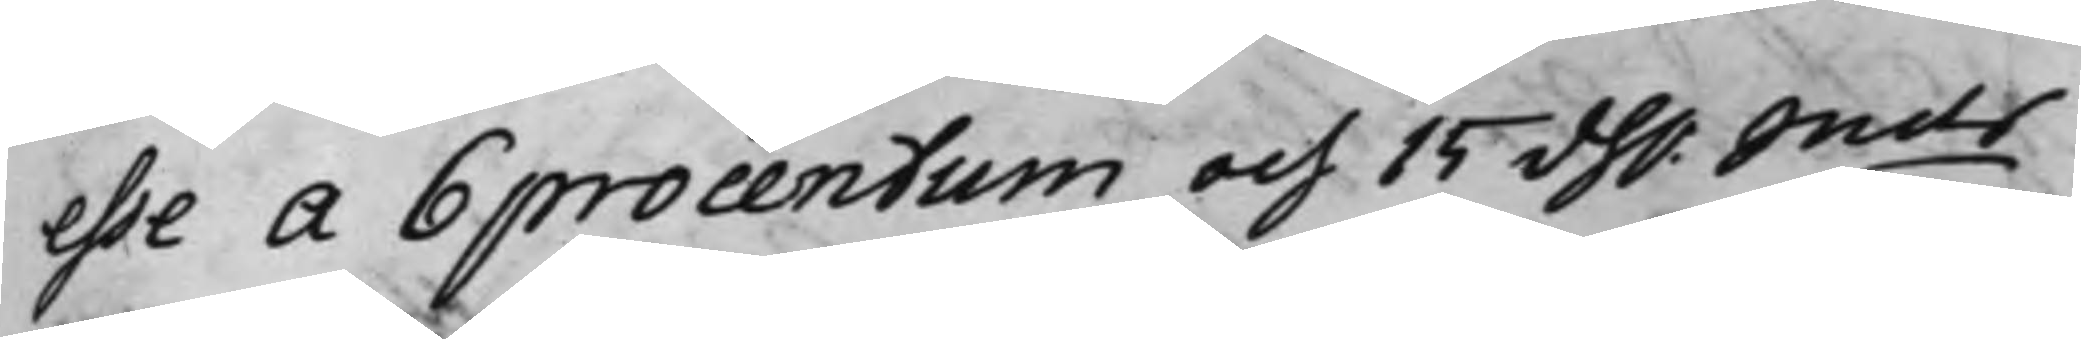esse a 6 procentum och 15 dh.r Smts
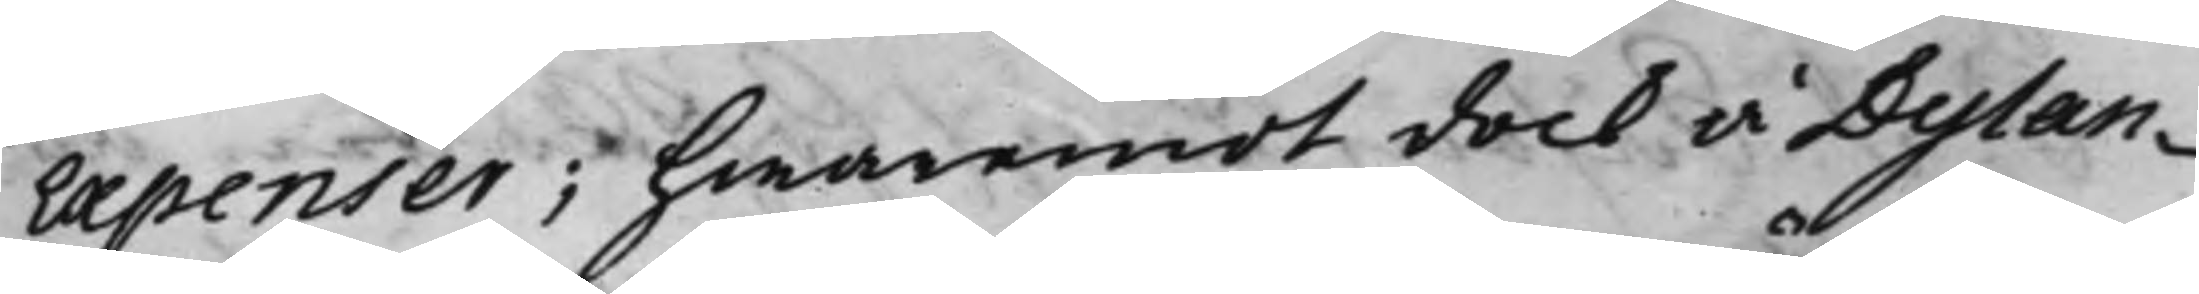Expenser; hwaremot dock å Dylan¬
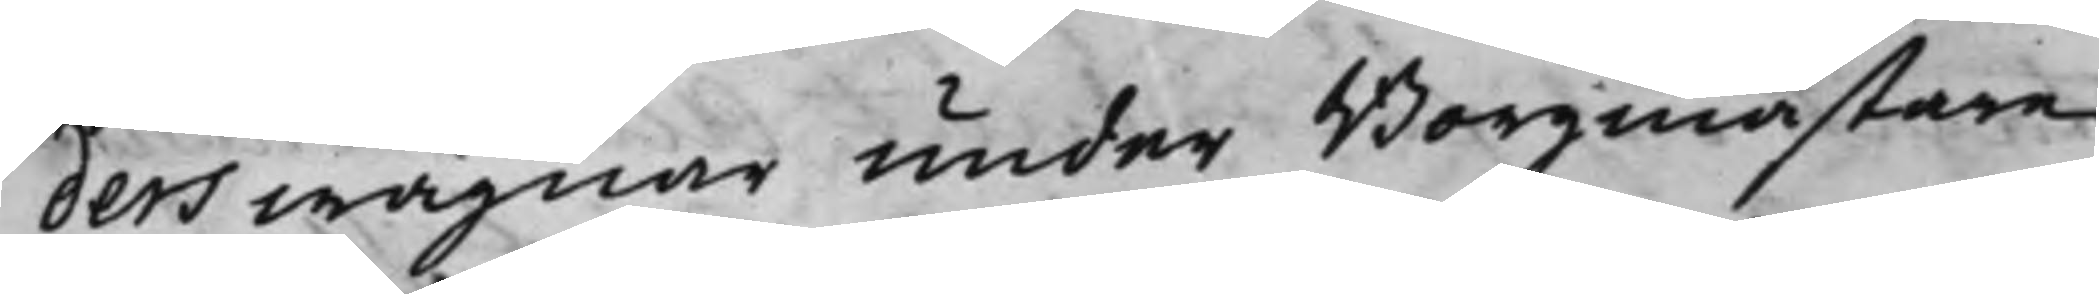ders wägnar under Borgmästare
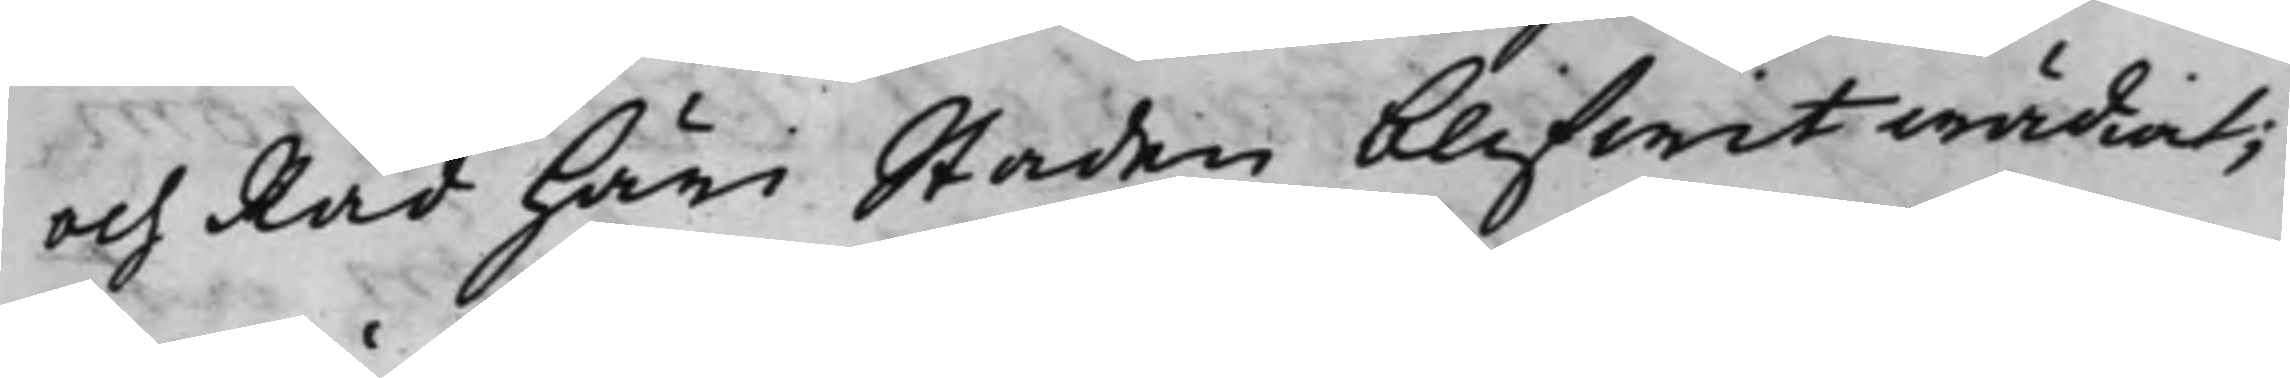och Råd häri Staden blifwit wädiat;
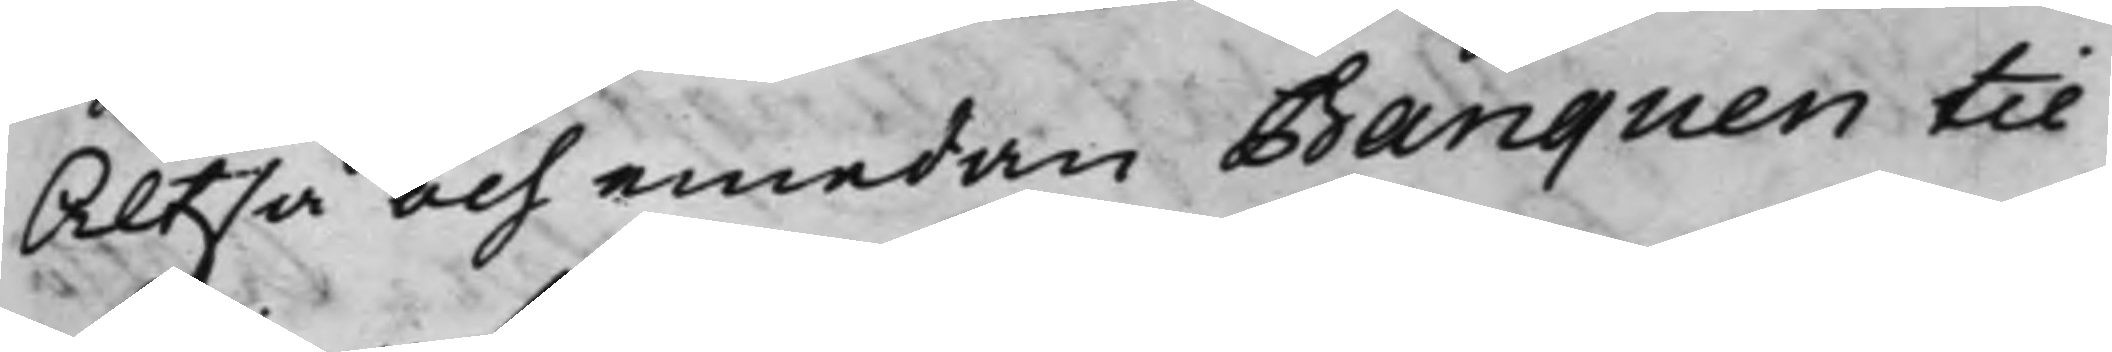Altså och emedan Banquen til
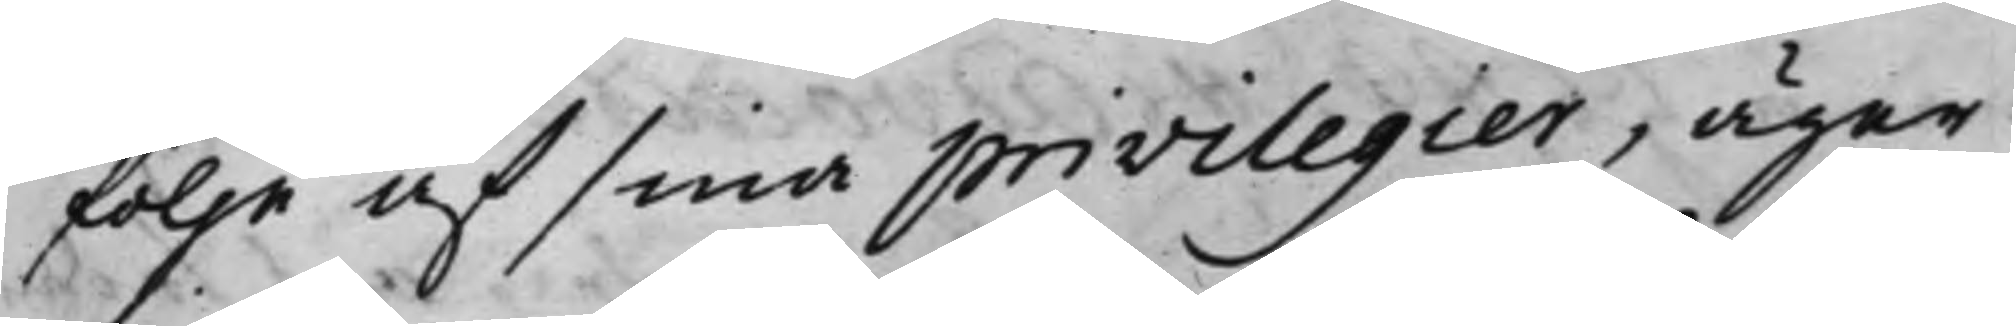följe af sina privilegier, äger
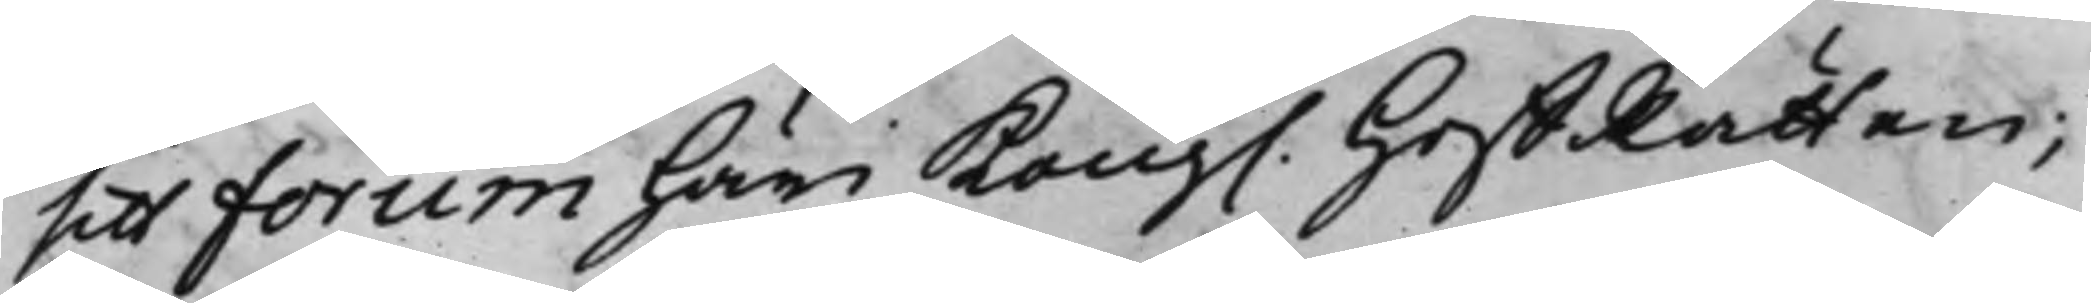sitt Forum häri Kong. HoffRätten;
